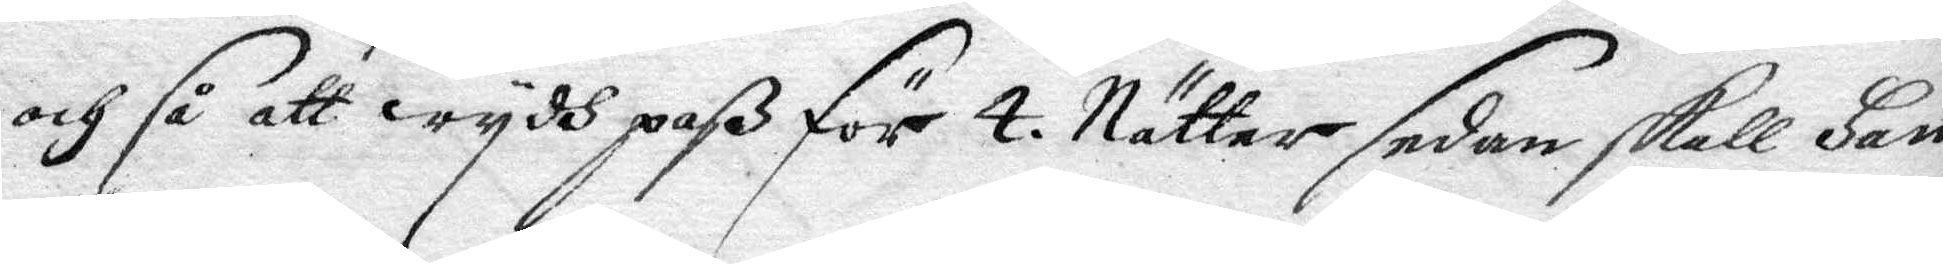och så att wydh paß för 4 Nätter sedan skall Han
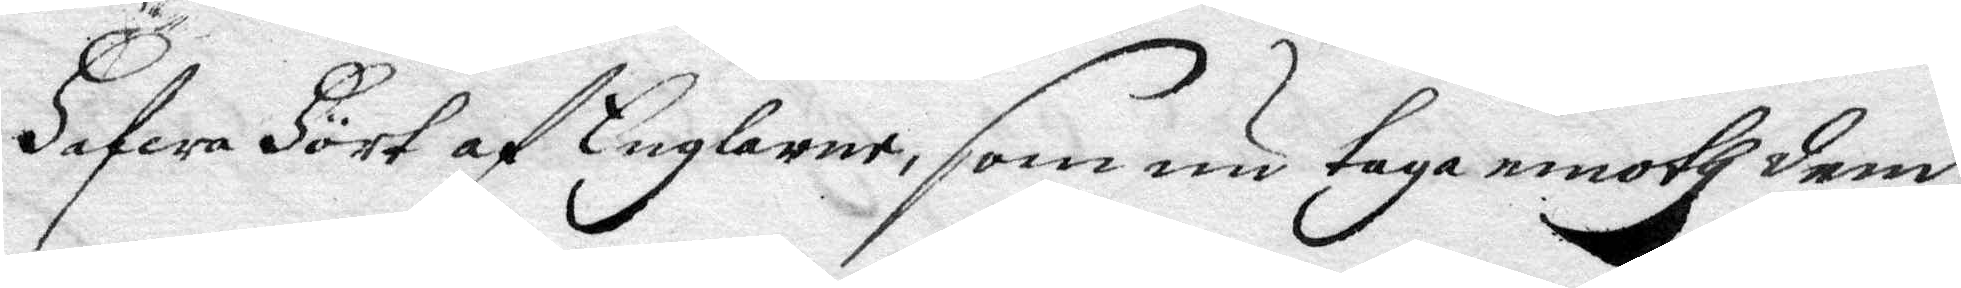Hafwa Hört af Englarne, som nu taga emoth dem
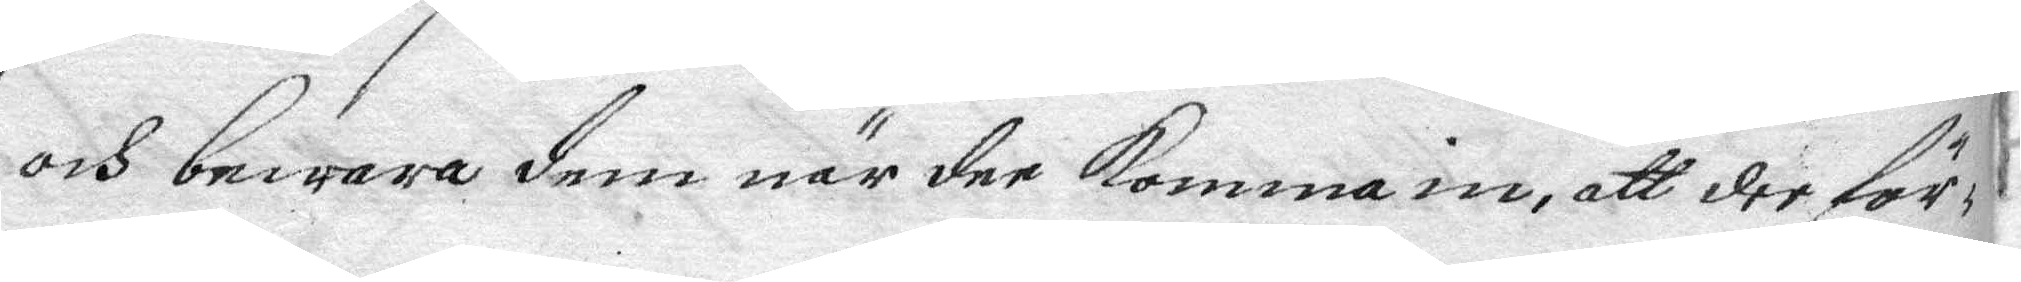och bewara dem när dee komma in, att der för¬
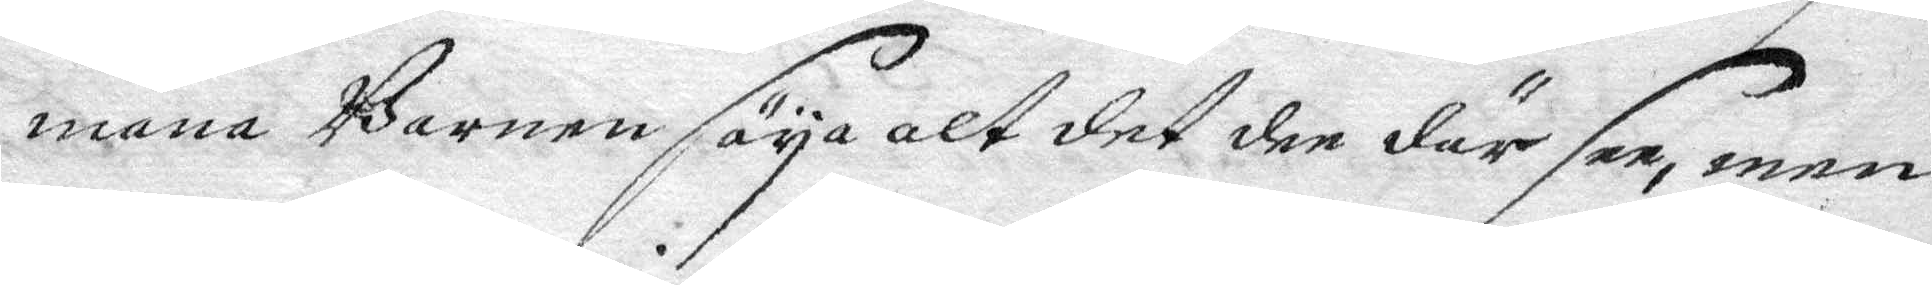mana Barnen säya alt det dee där see, men
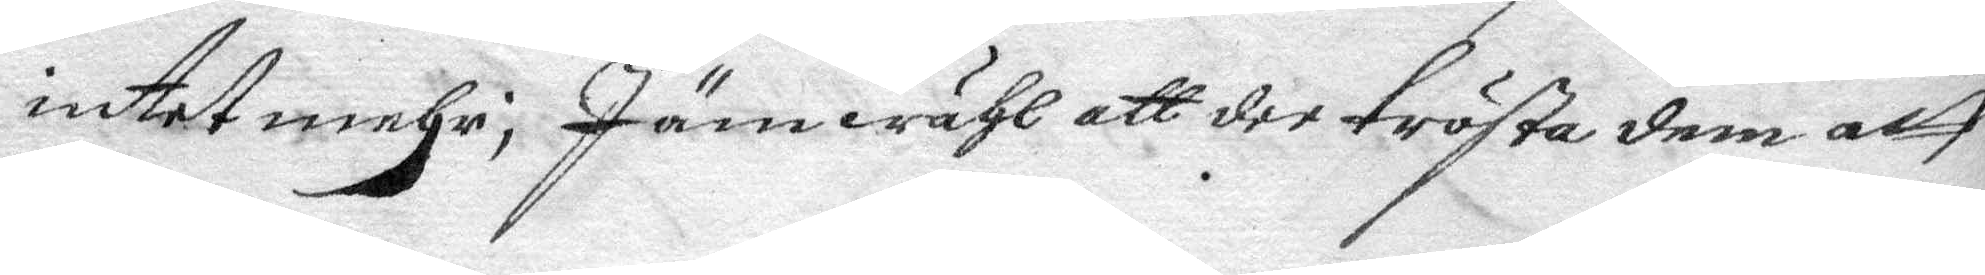intet mehr; Jämwähl att dd trösta dem att
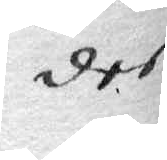dee
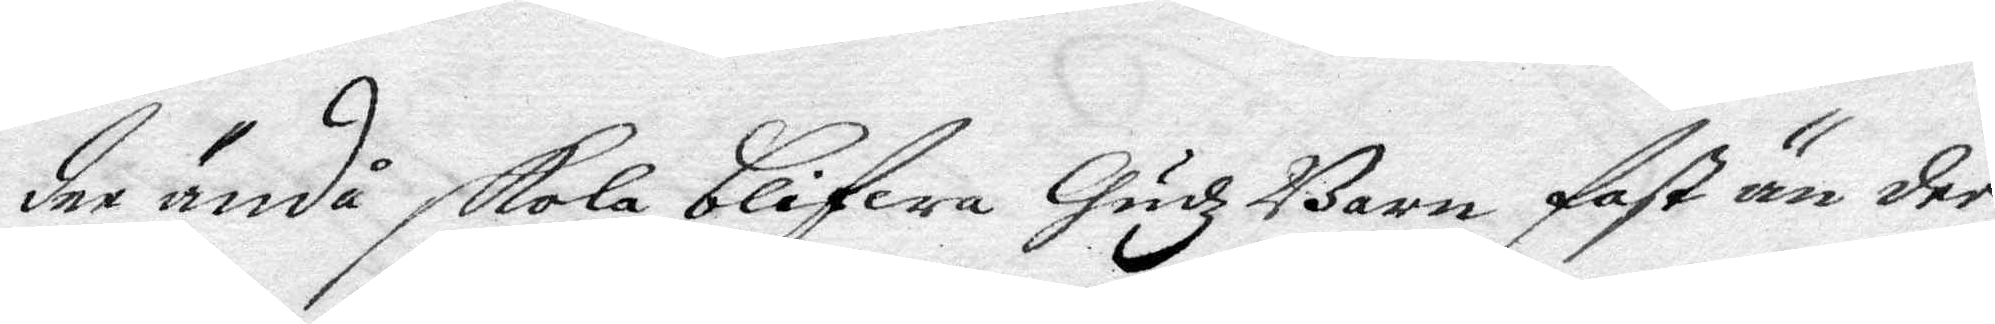dee ändå skola blifwa Gudz Barn fast än dee
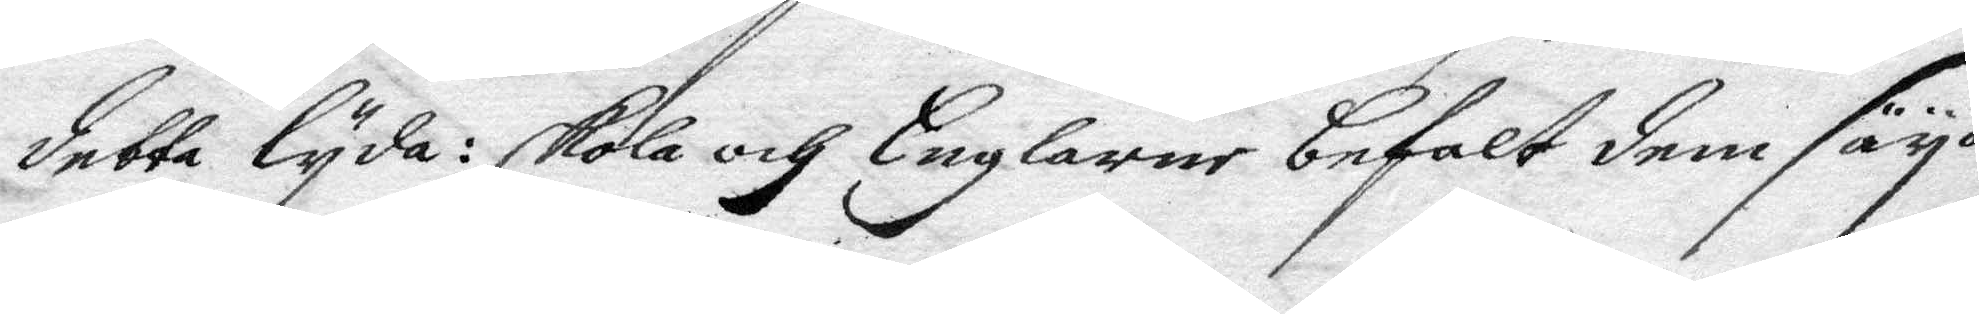detta lyda: skola och Englarne befalt dem säya
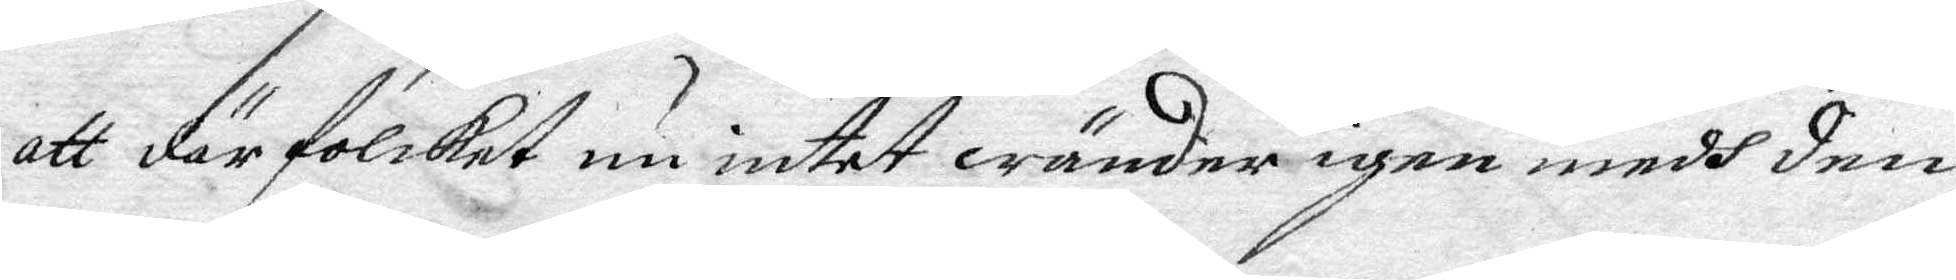att där folcket nu intet wänder igen medh den
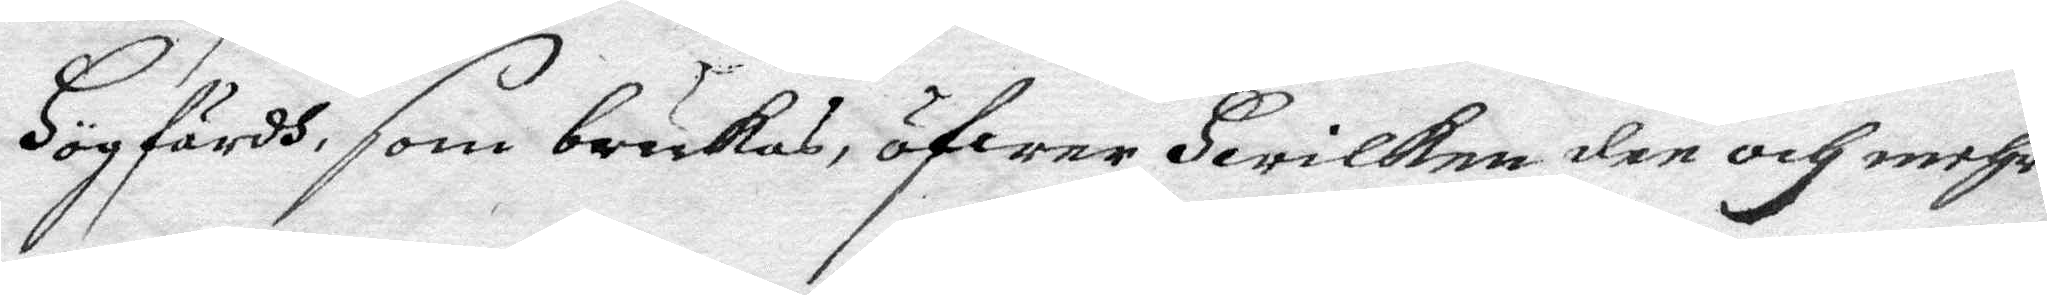Högfärdh som brukas öfwer Hwilken den och mehr
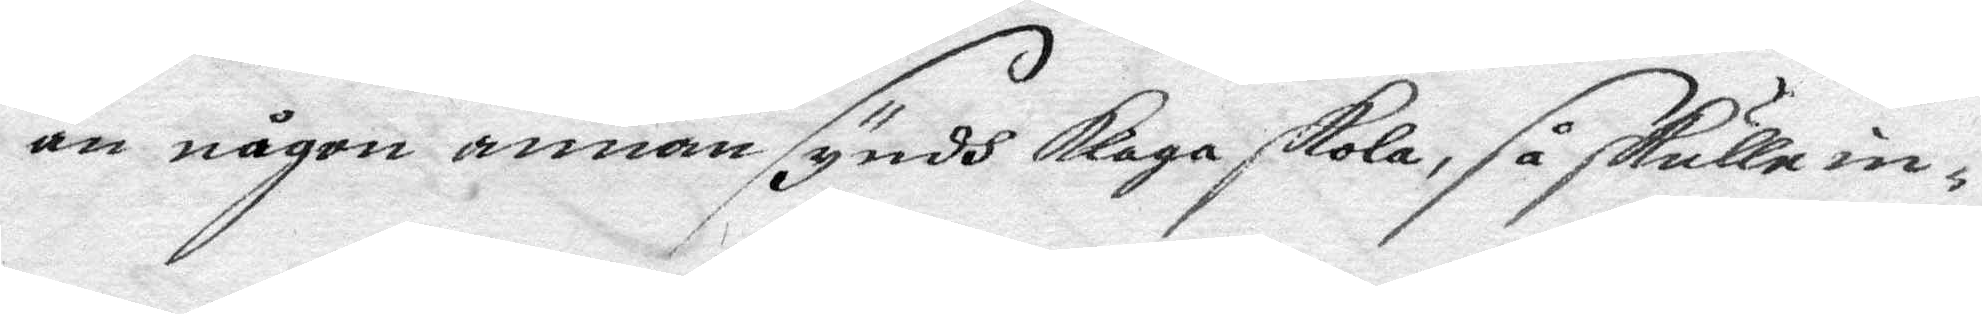än någon annan syndh klaga skola, så skulle in¬
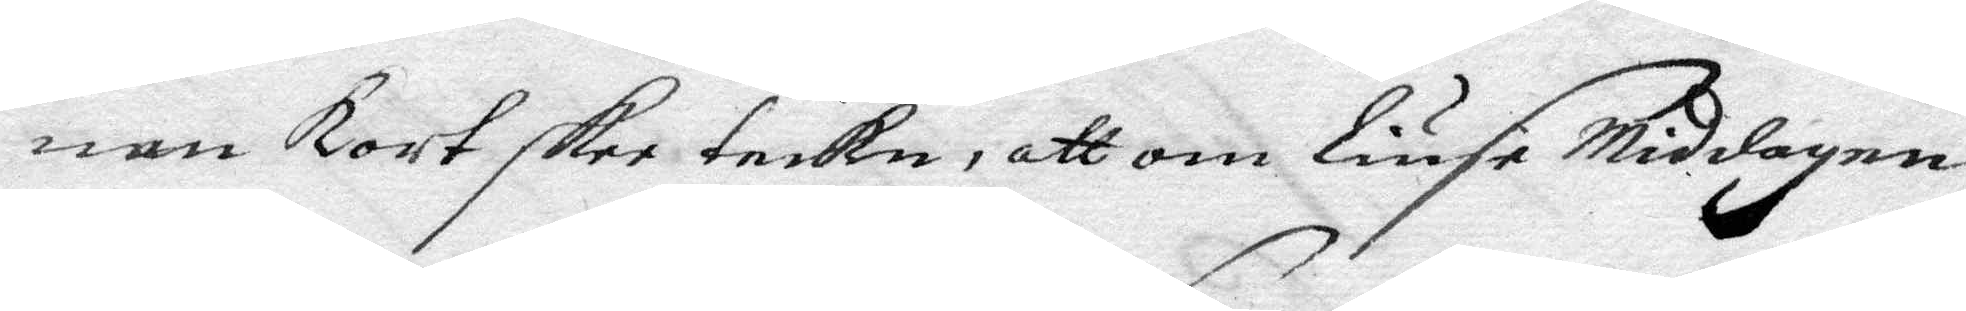nom kort skee teckn, att om Liuse Middagen
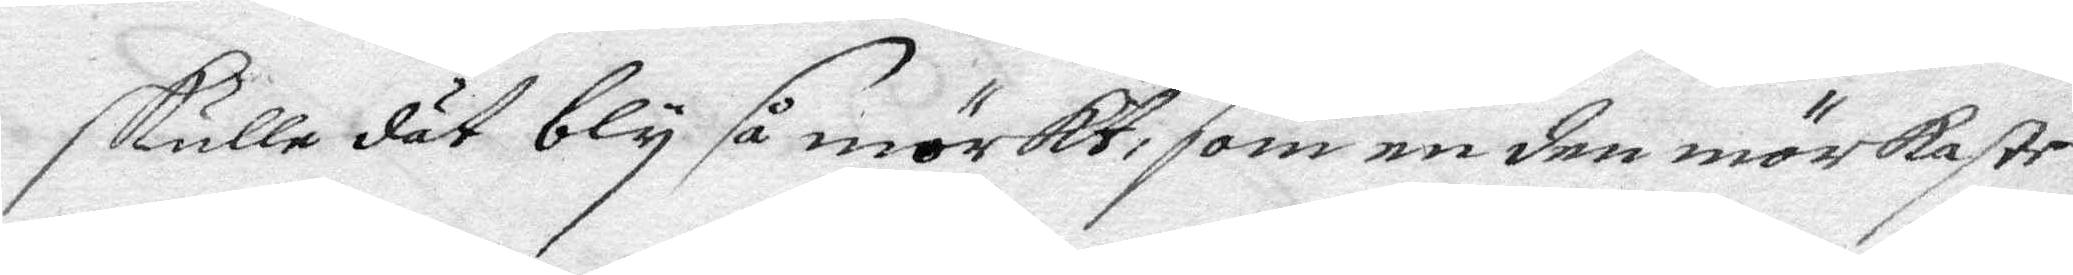skulle dät bly så mörkt, som en den mörkaste
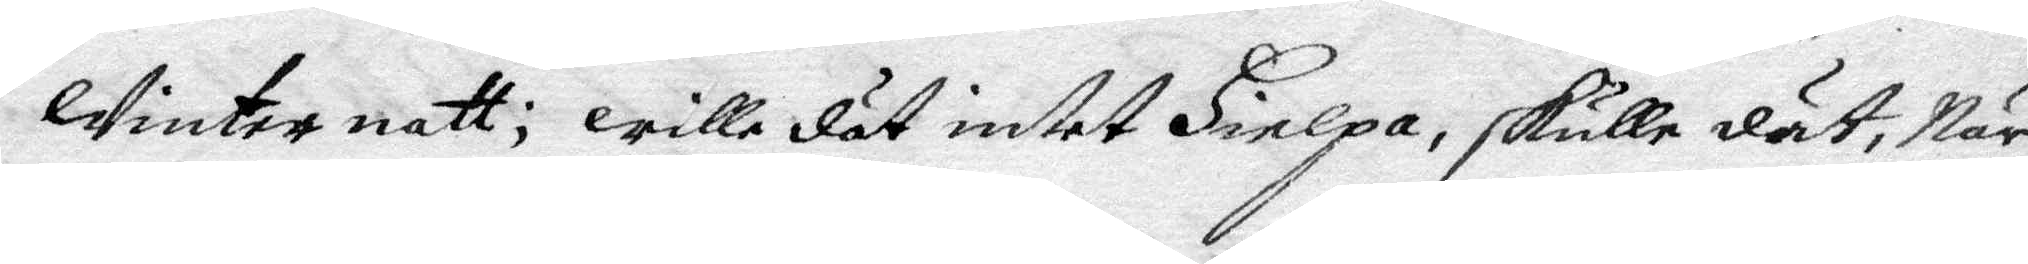winternatt; wille dät intet Hielpa, skulle dät, När
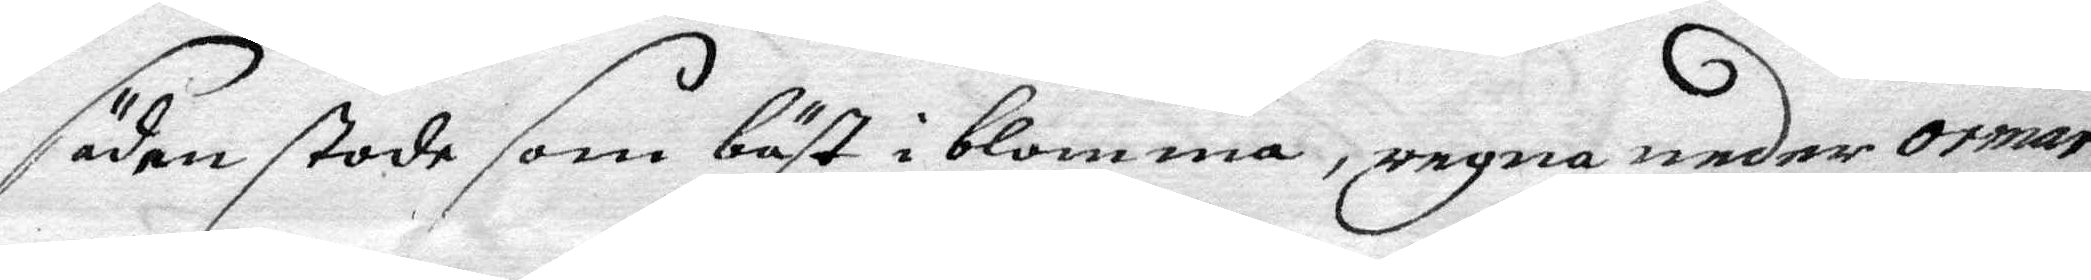säden stode som bäst i blomma, regna neder ormar
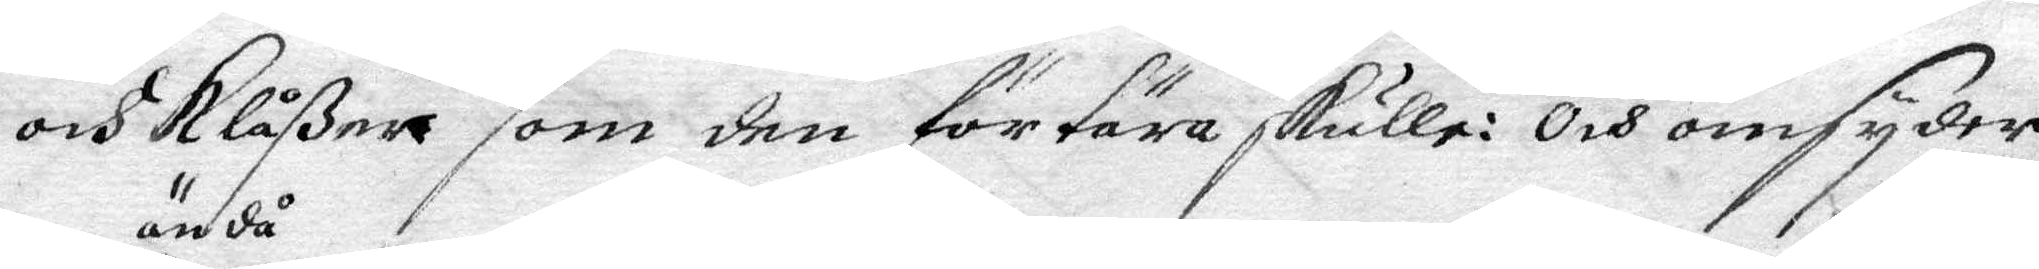och Klåßer som den förtära skulle: Och omsyder
